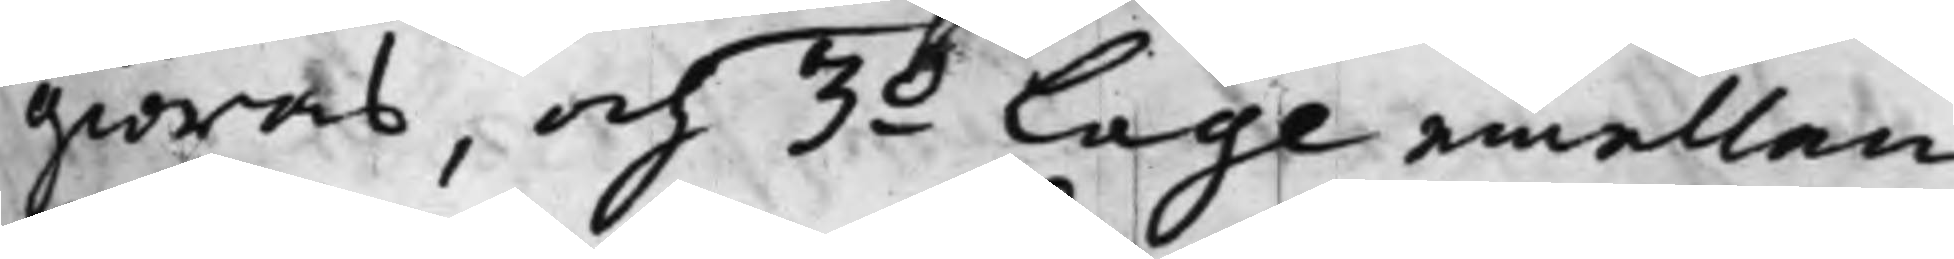giöras, och 3.o Lage emellan
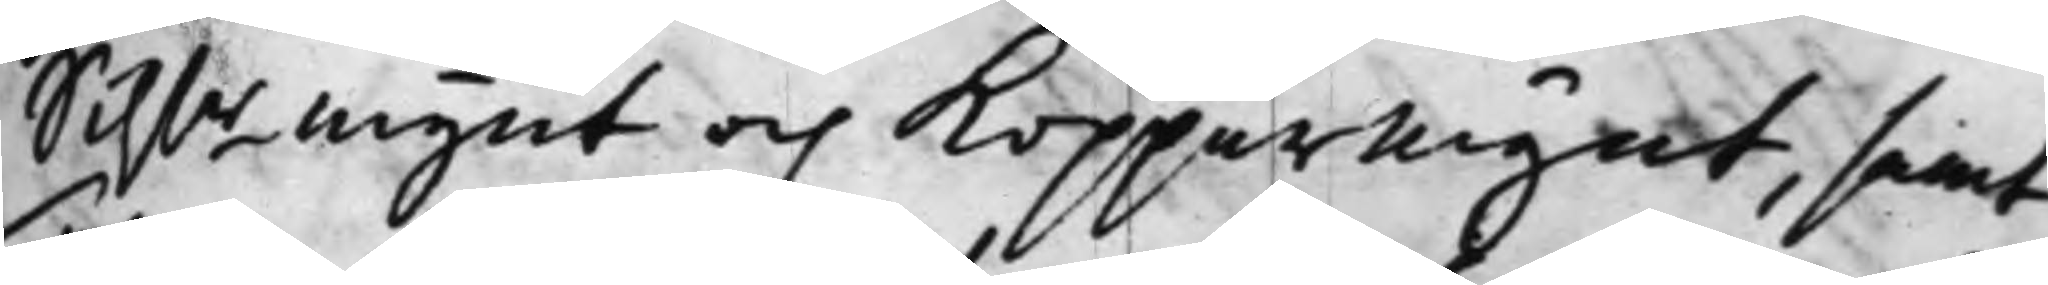Silf.r mynt och Kopparmynt, samt
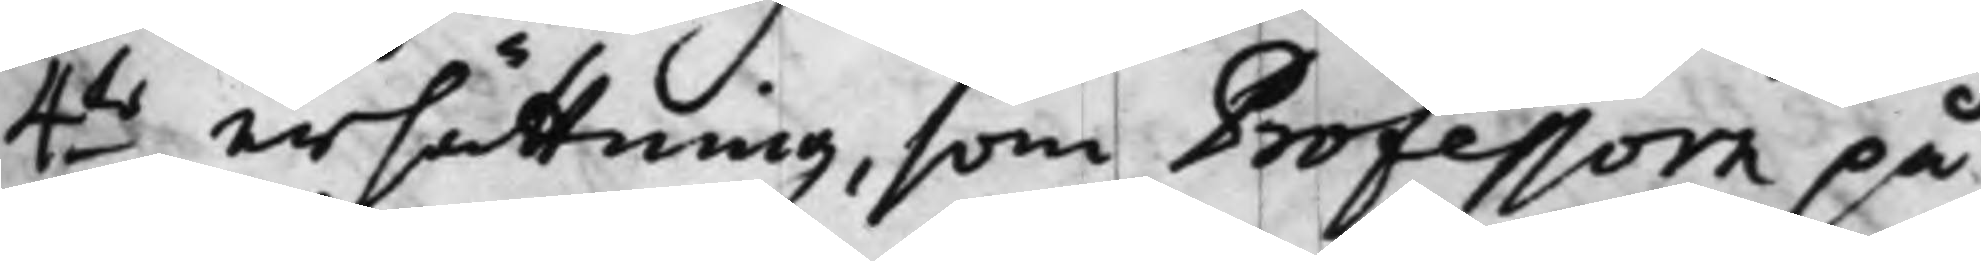4:to ersättning, som Professorn på¬
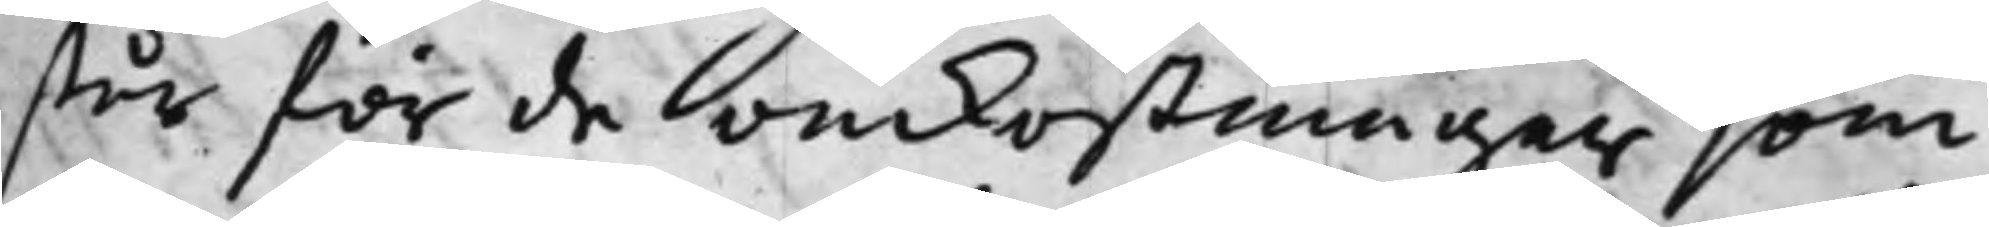står för de omkostningar som
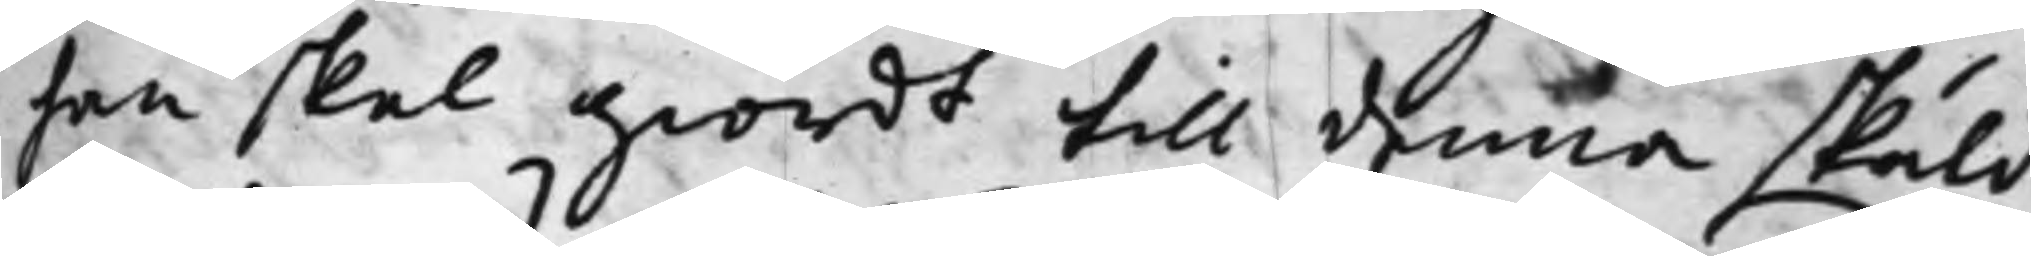han skal giordt till denna skuld¬
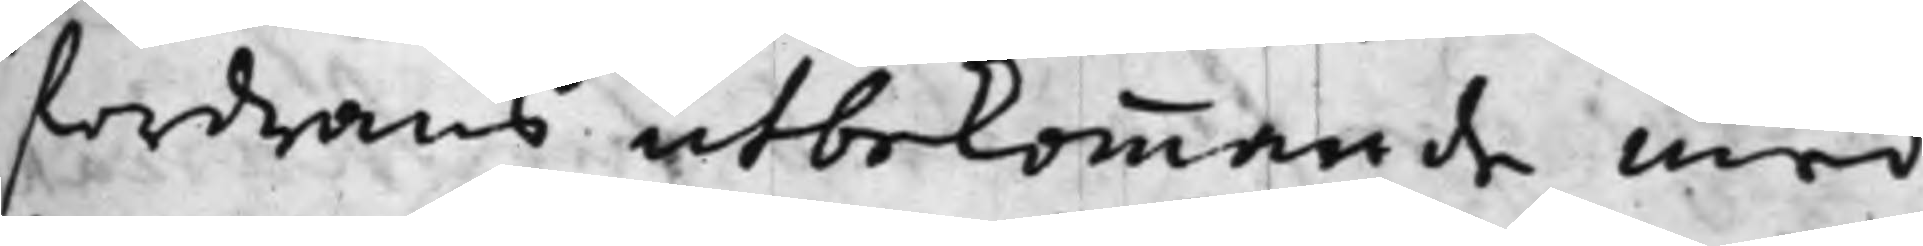fordrans utbekommande med
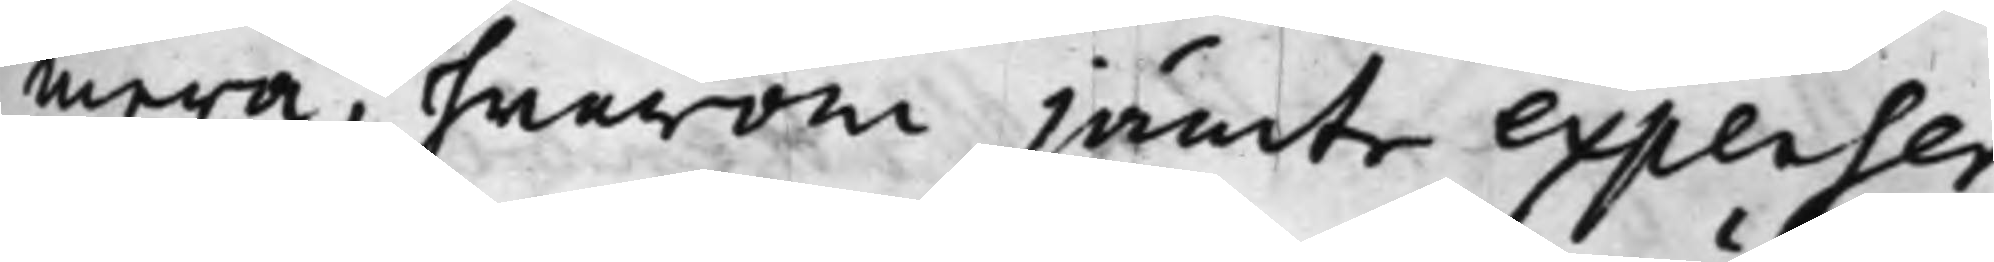mera, hwarom jämte expenser
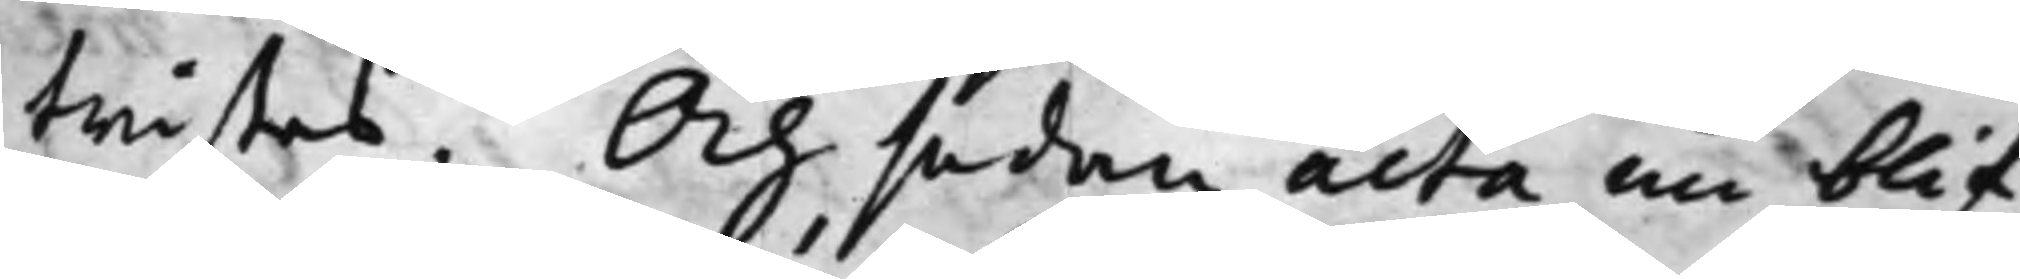twistas. Och sedan acta nu blif¬
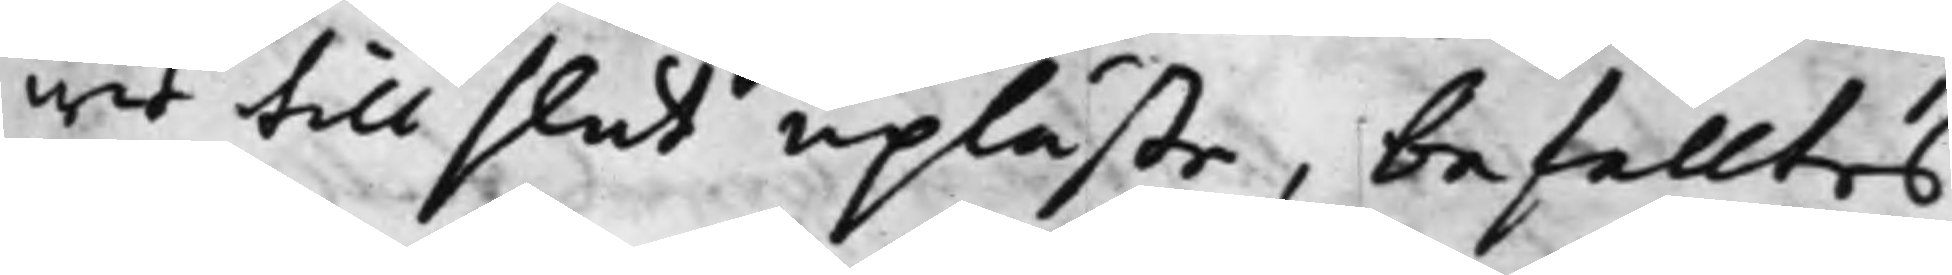wit till slut upläste, befalltes,
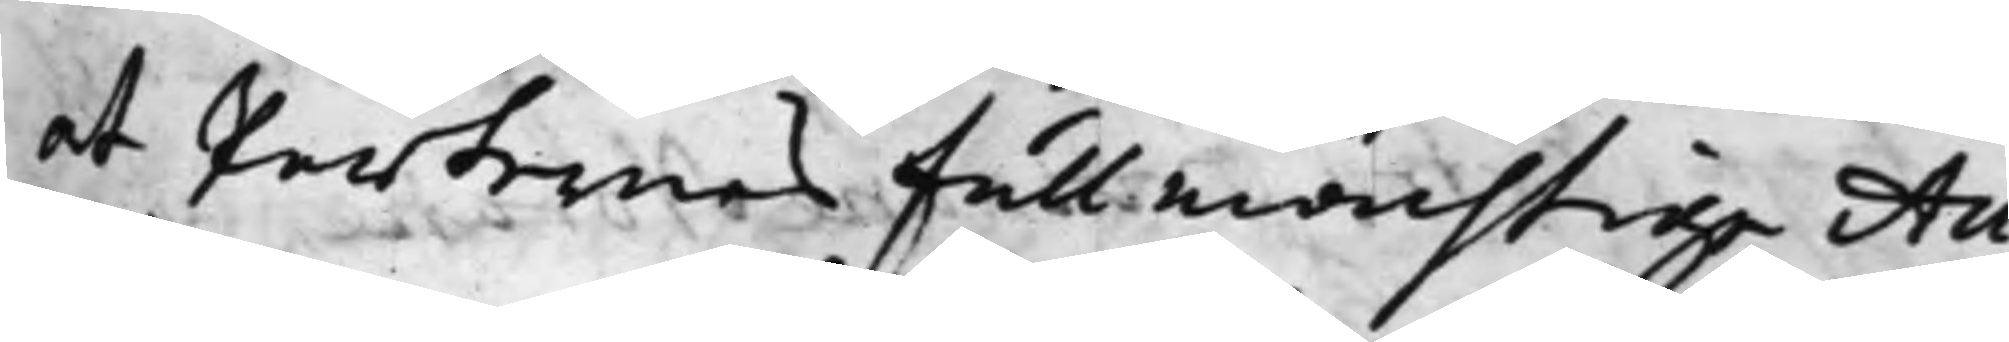at Parternes Fullmächtige Au¬
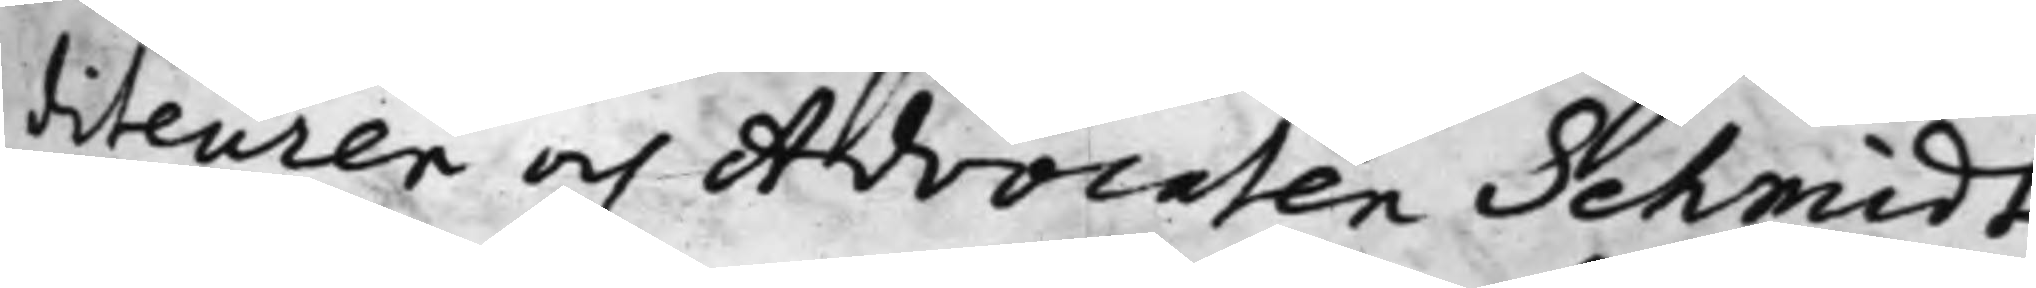diteuren och Advocaten Schmidt
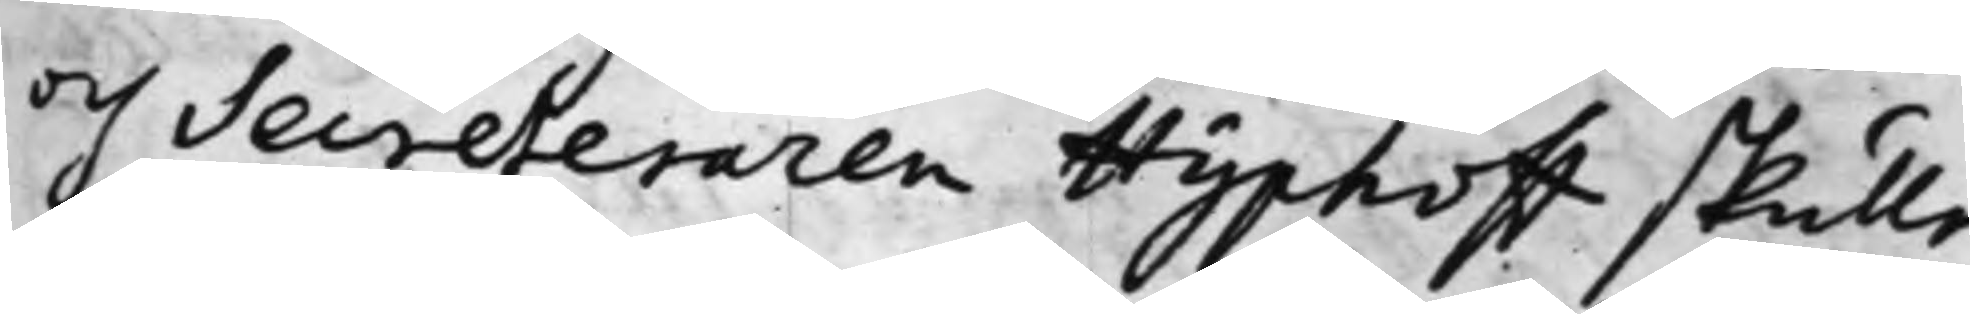och Secreteraren Hyphoff skulle
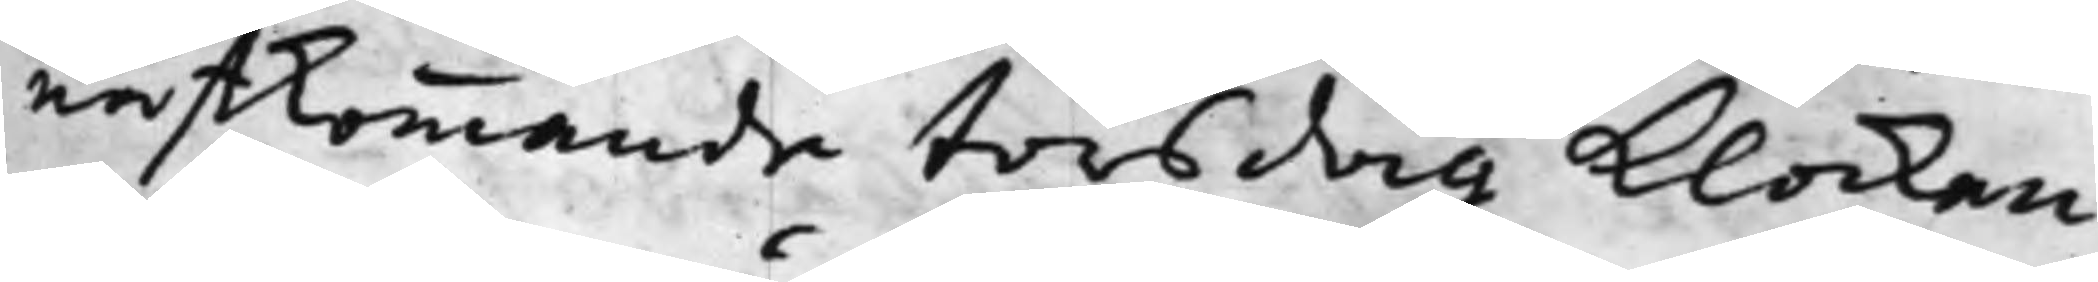nästkommande torsdag Klockan
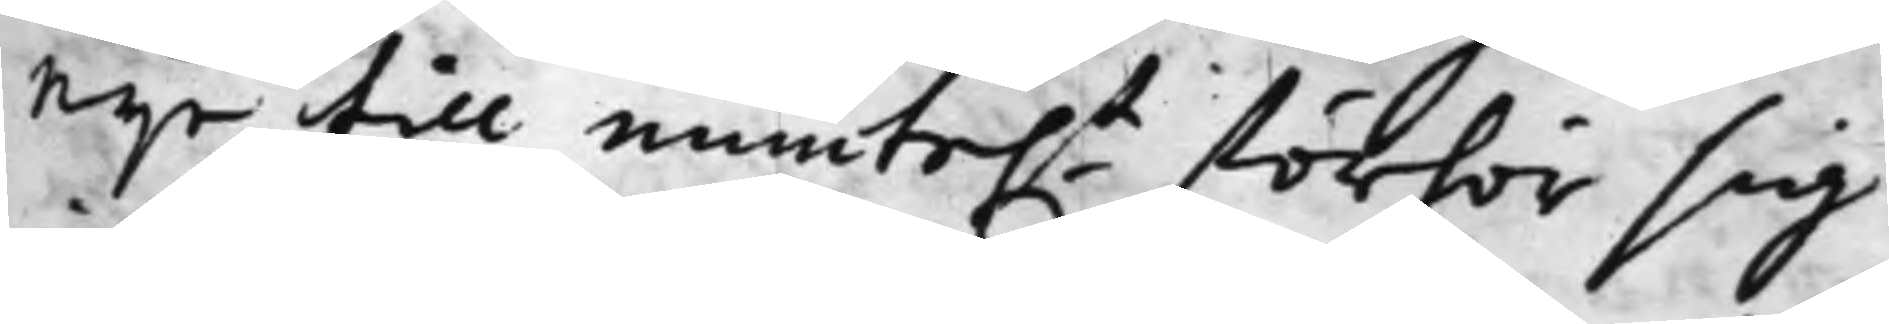Nijo till munte.t förhör sig
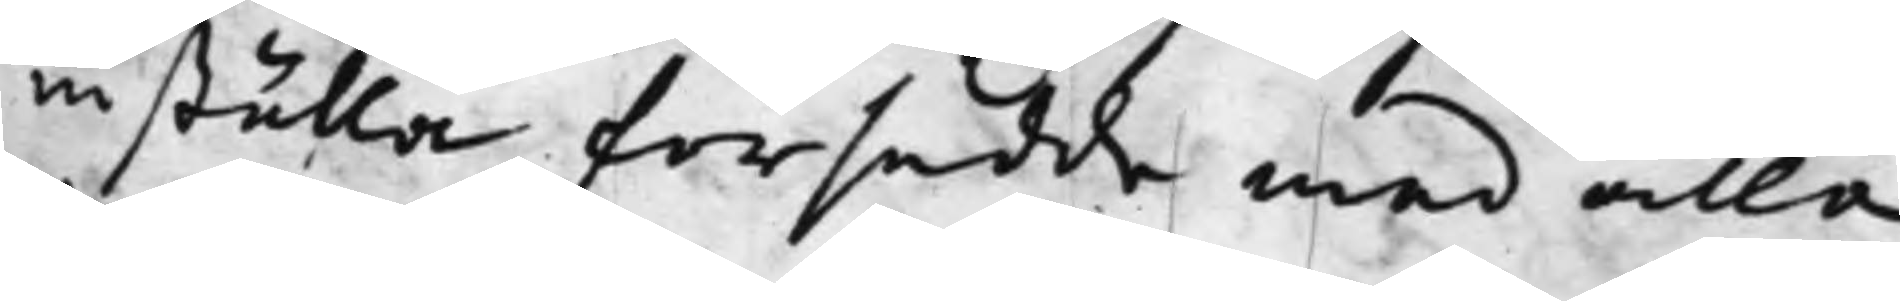inställa försedde med alla
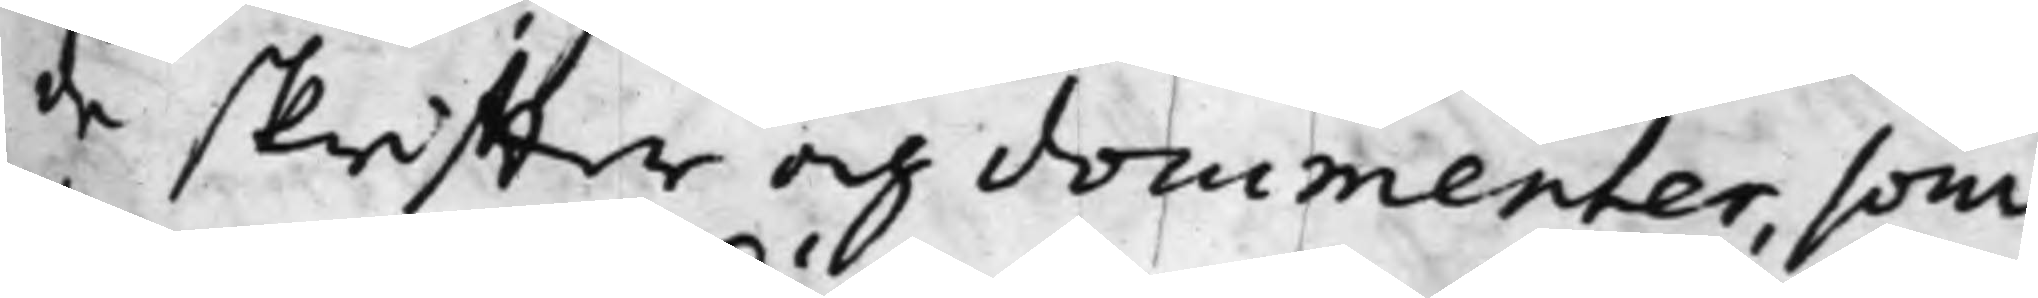de skriffter och documenter, som
